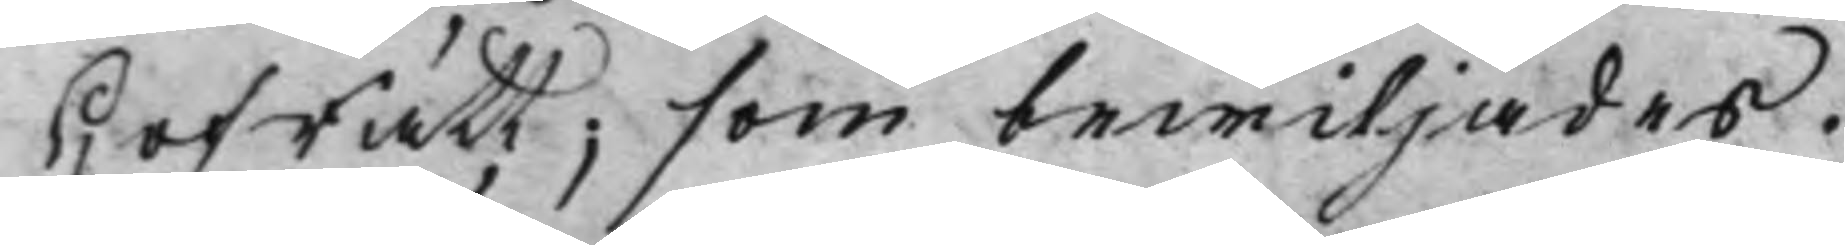HofRätt; som bewiljades.
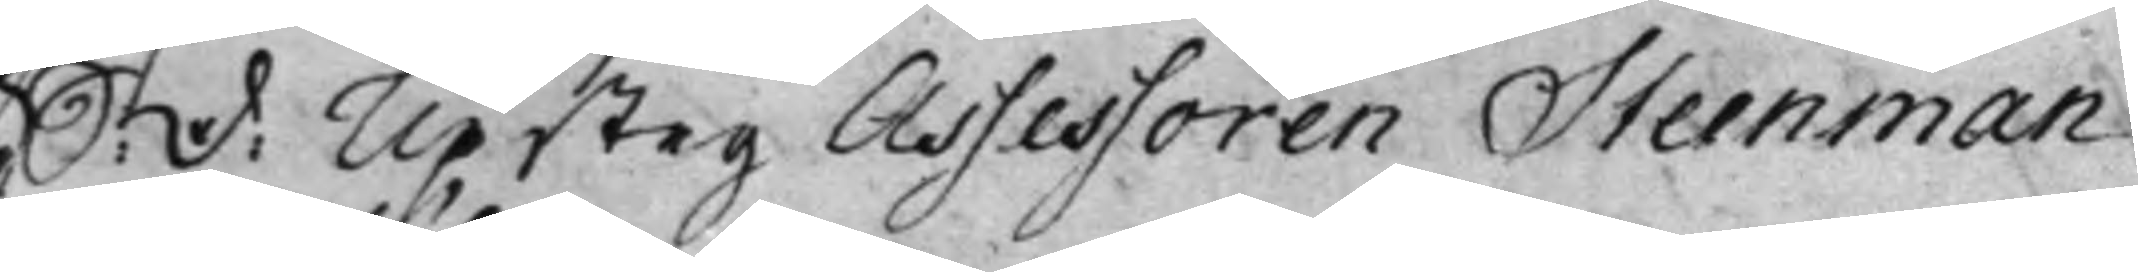S: D: Upsteg Assessoren Steenman
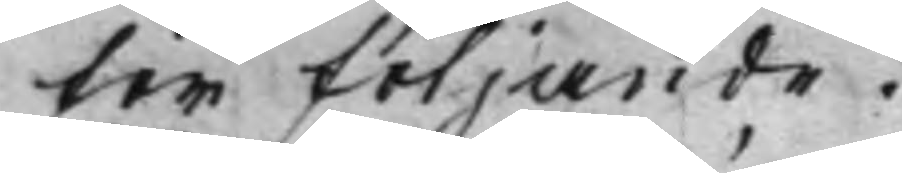för följande.
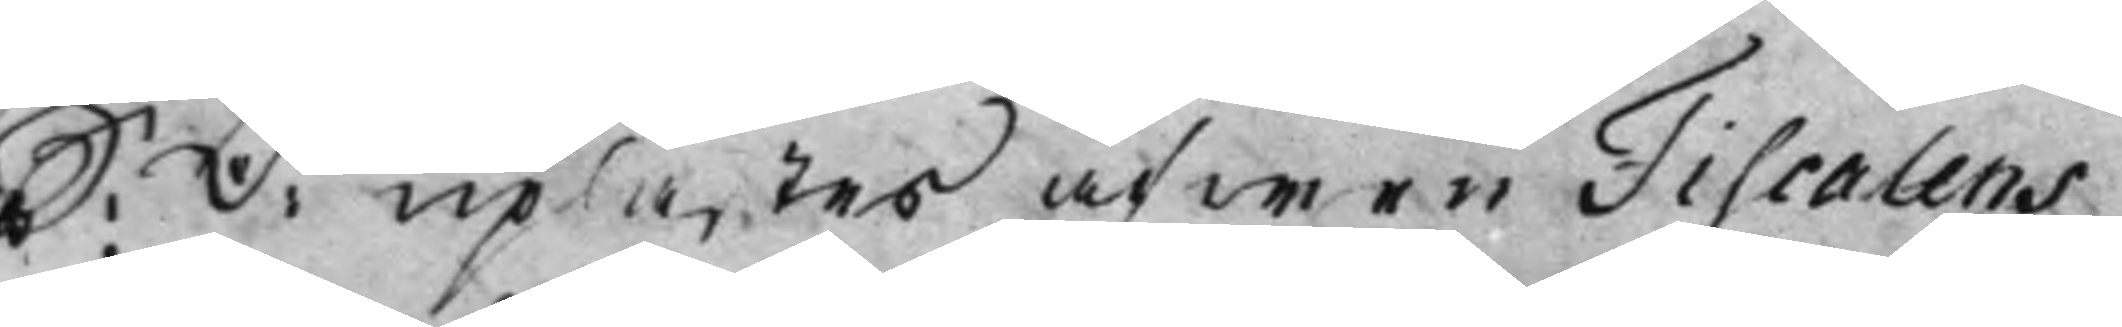S: D: uplästes äfwen Fiscalens
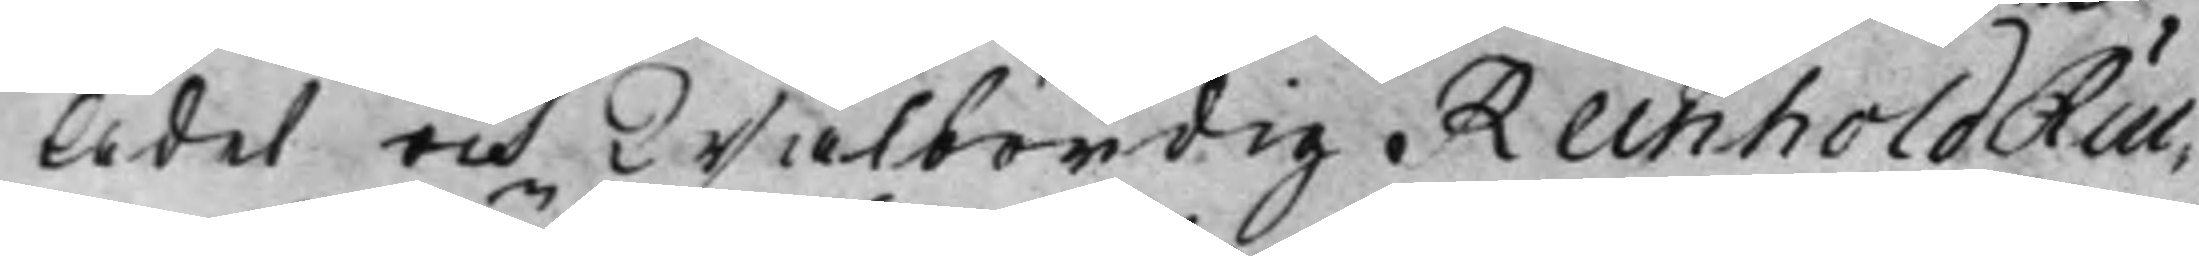Ädel och Wälbördig Reinhold Rüc¬
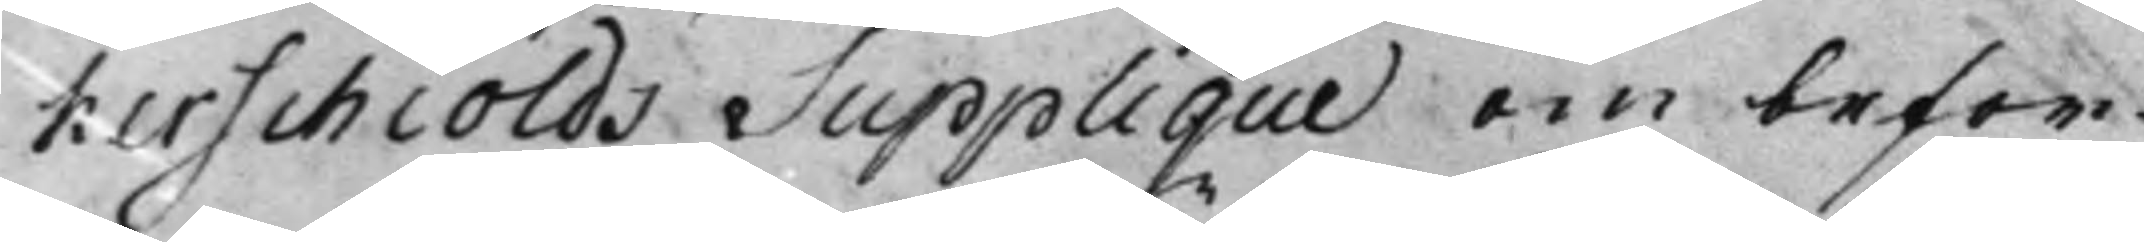kerschiölds Supplique om befor¬
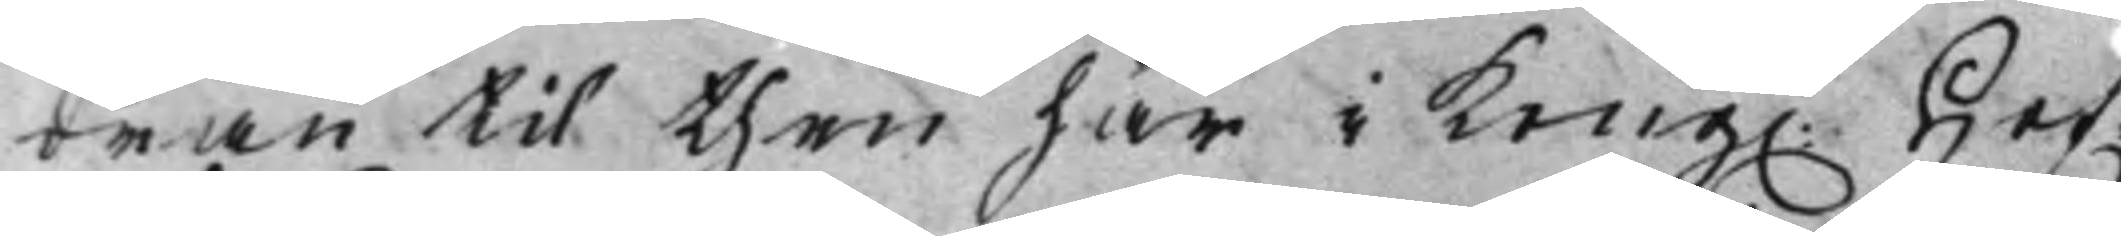dran til then här i Kong. Hof¬
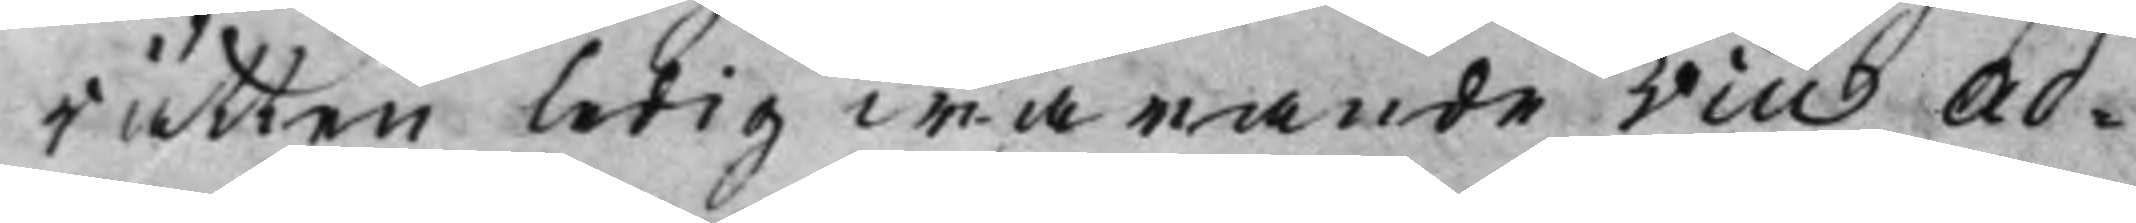rätten ledig warande Vice Ad¬
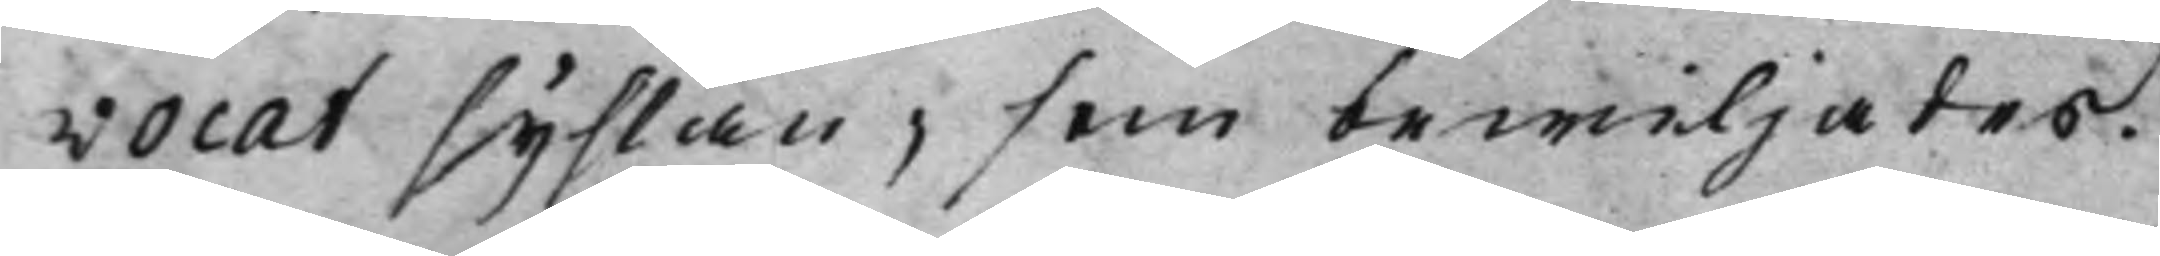vocat syslan; som bewiljades.
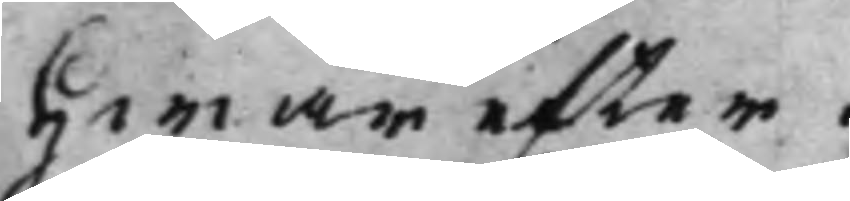Hwarefter.
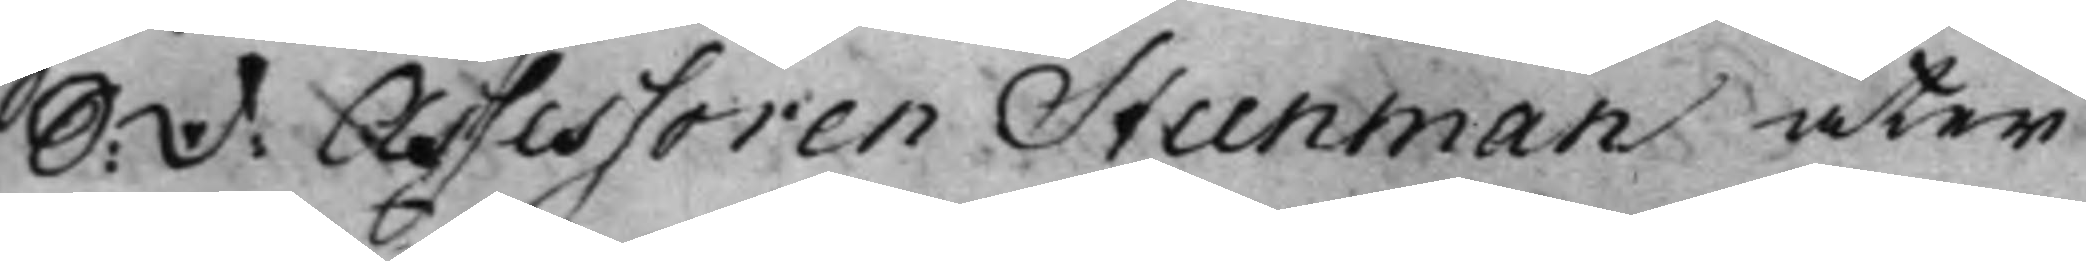S: D: Assessoren Steenman åter
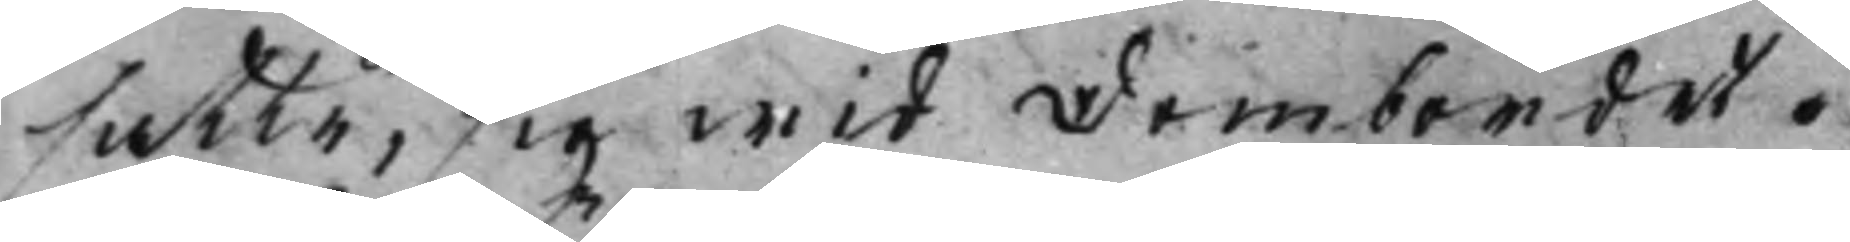satte, sig wid Dombordet.
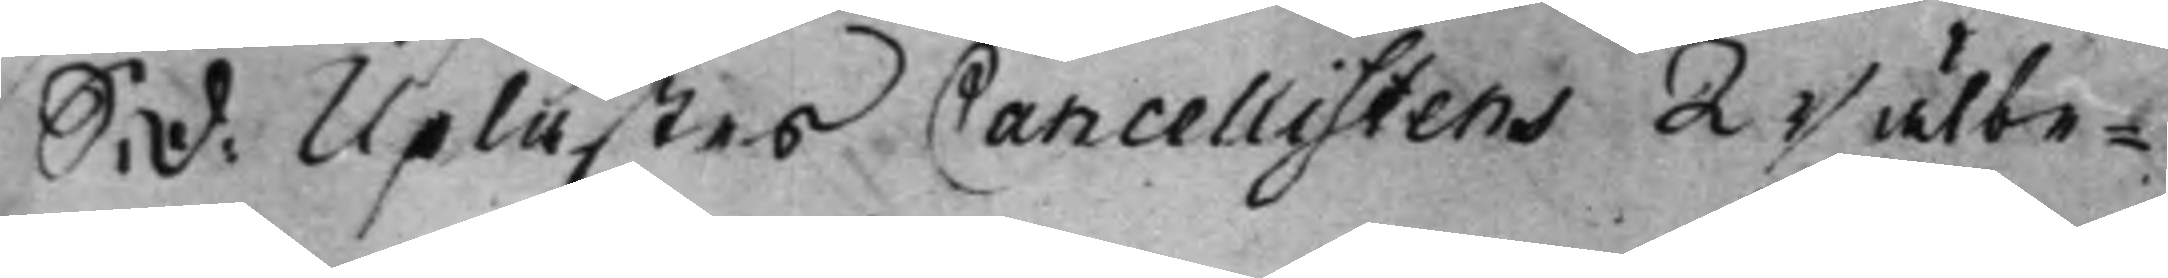S: D: Uplästes Cancellistens Wälbe¬
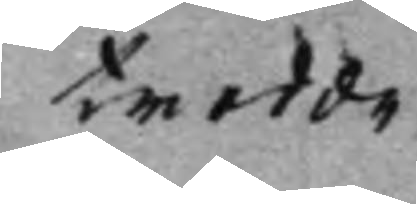trodde
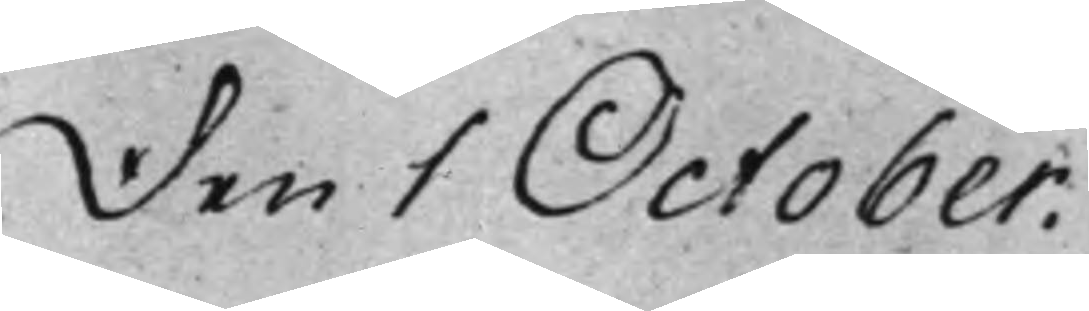Den 1 October.
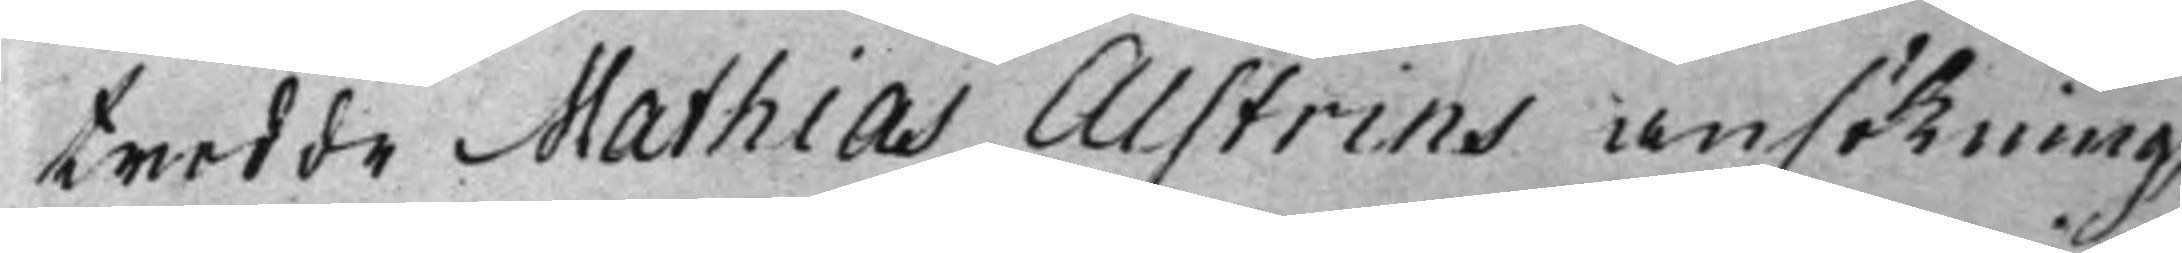trodde Mathias Alstrins ansökning
